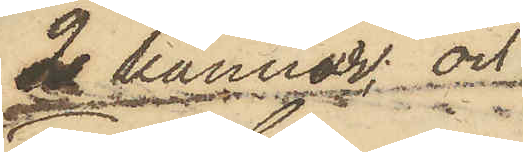2 kannor och
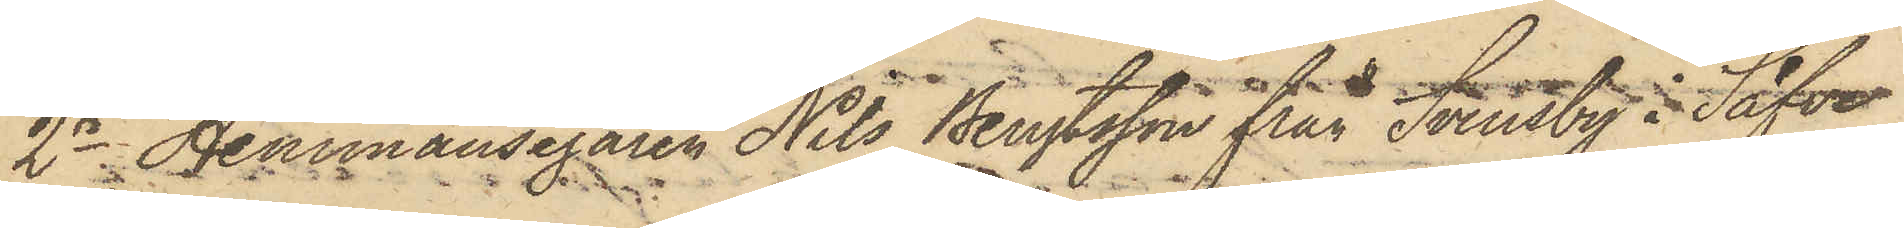2o Hemmansegaren Nils Bengtsson från Svensby i Säfve
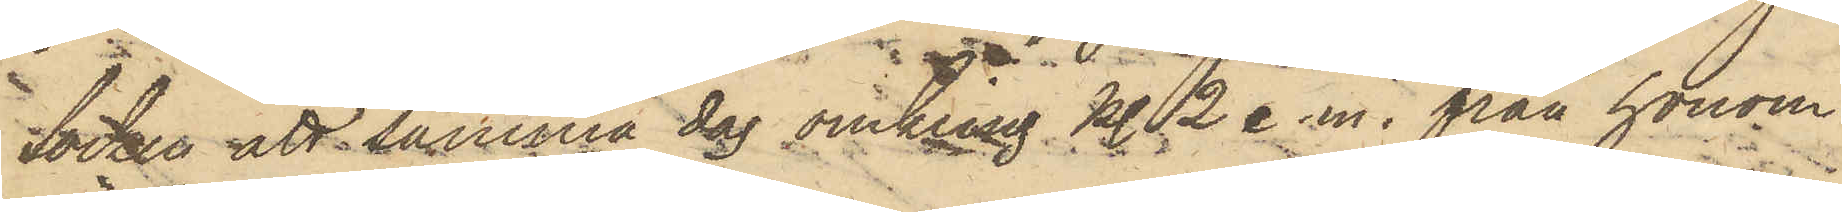Socken att samma dag omkring kl. 2 e.m. från honom
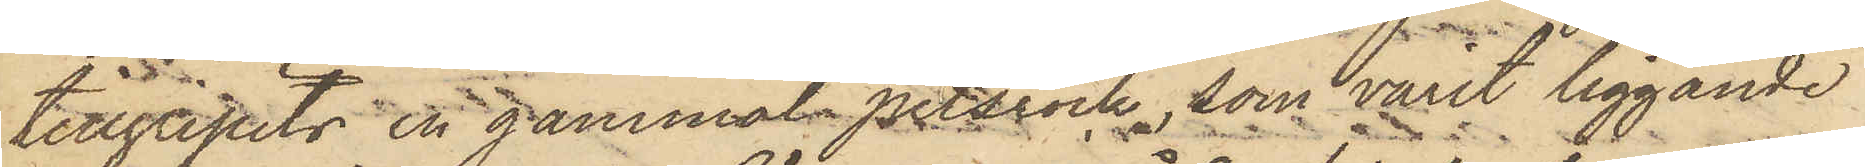tillgripits en gammal pelsrock, som varit liggande
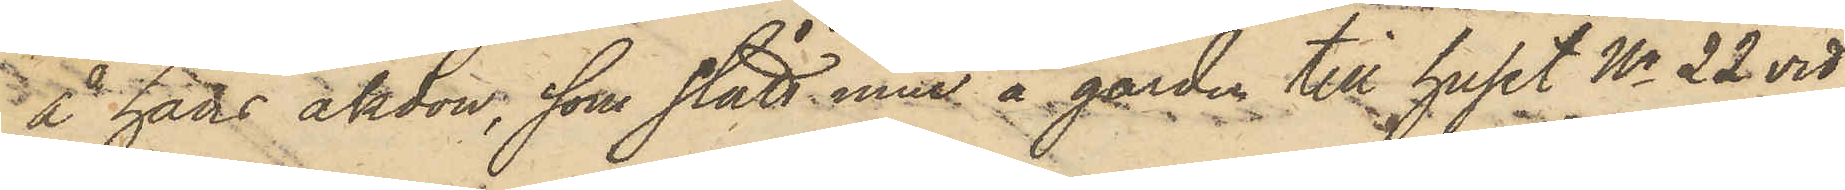å hans åkdon, som stått inne å gården till huset No 22 vid
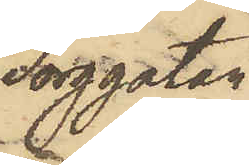Torggatan.
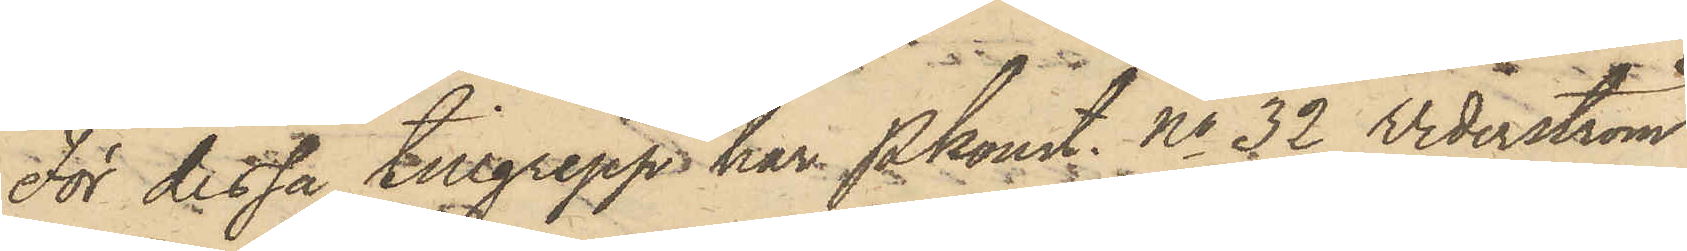För dessa tillgrepp har Pkonst. No 32 Widerström
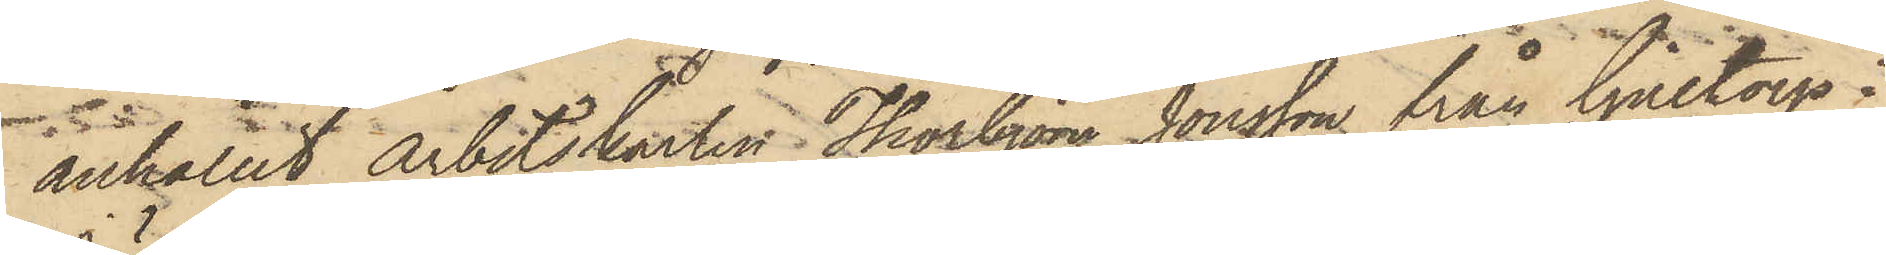anhållit arbetskarlen Thorbjörn Jonsson från Gilltorp i
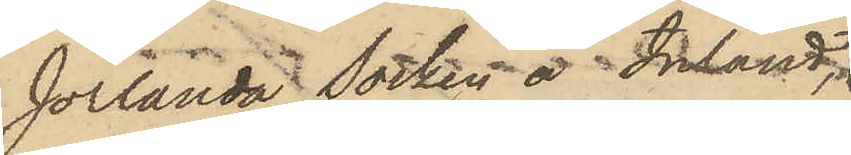Jörlanda Socken å Inland
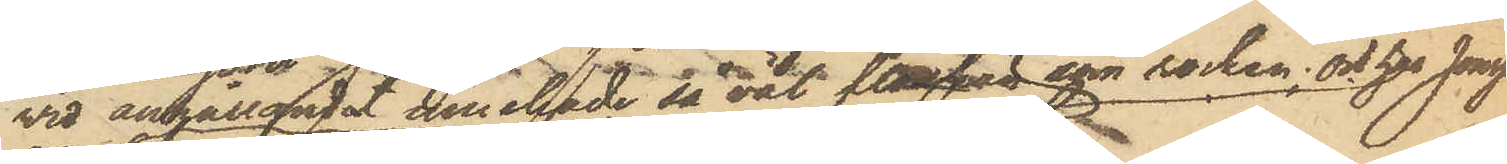vid anhållandet innehade så väl flaskan som rocken; och har Jonsson
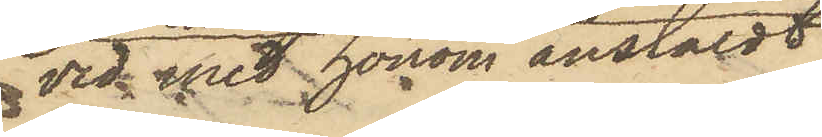vid med honom anstäldt
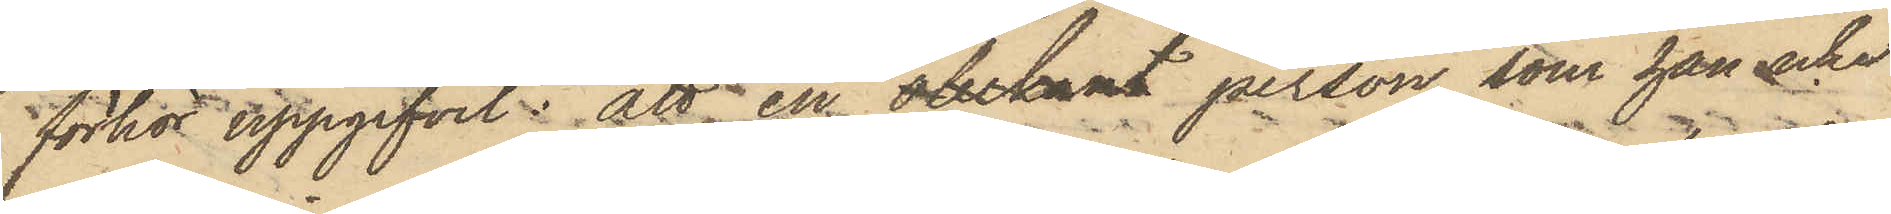förhör uppgifvit: att en obekant person, som han icke
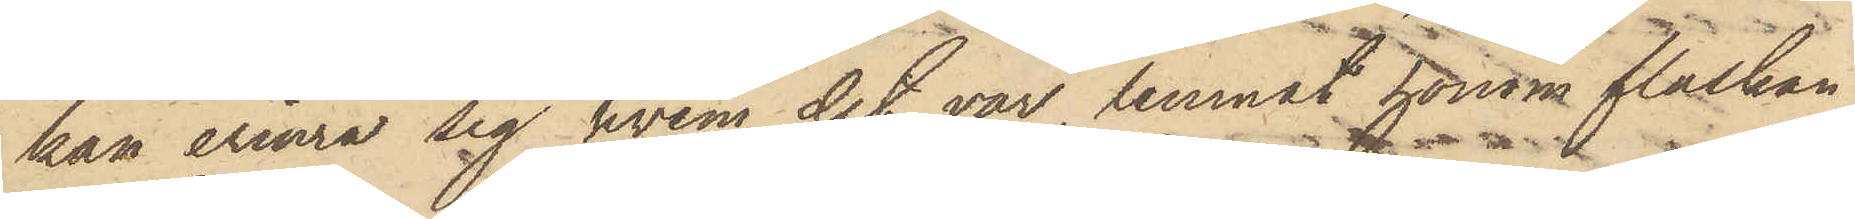kan erinra sig hvem det var, lemnat honom flaskan
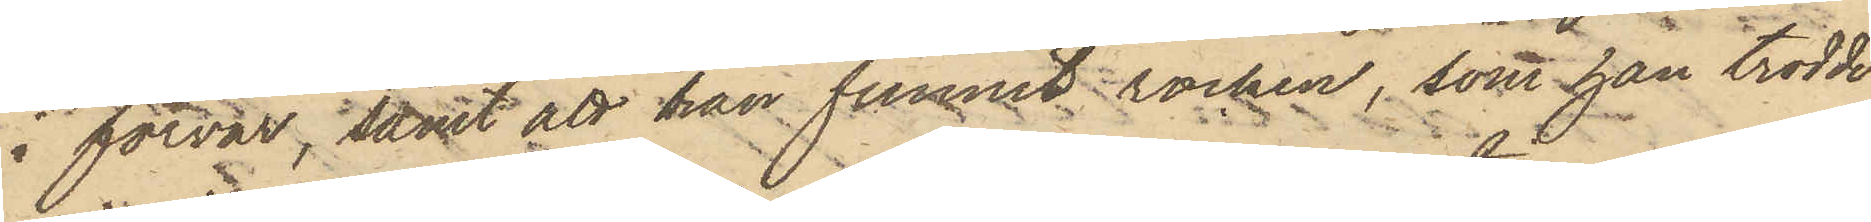i förvar; samt att han funnit rocken, som han trodde
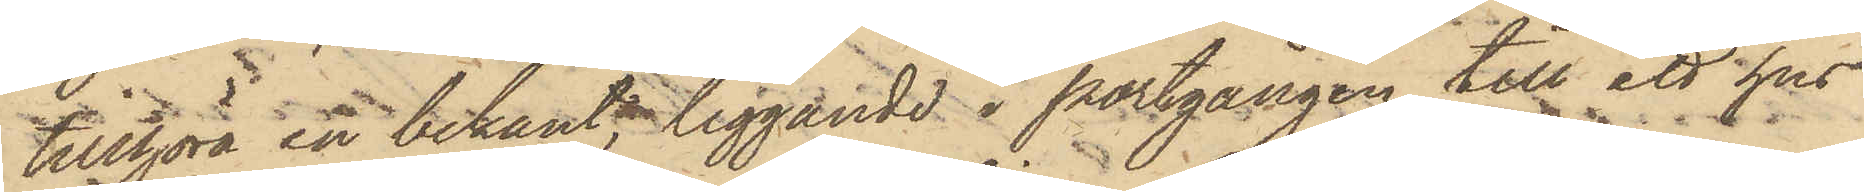tillhöra en bekant, liggande i portgången till ett hus
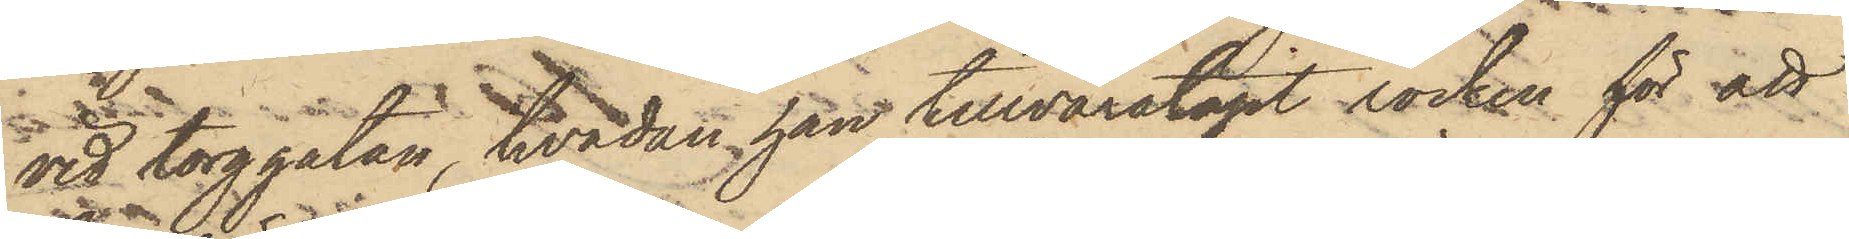vid torggatan, hvadan han tillvaratagit rocken för att
